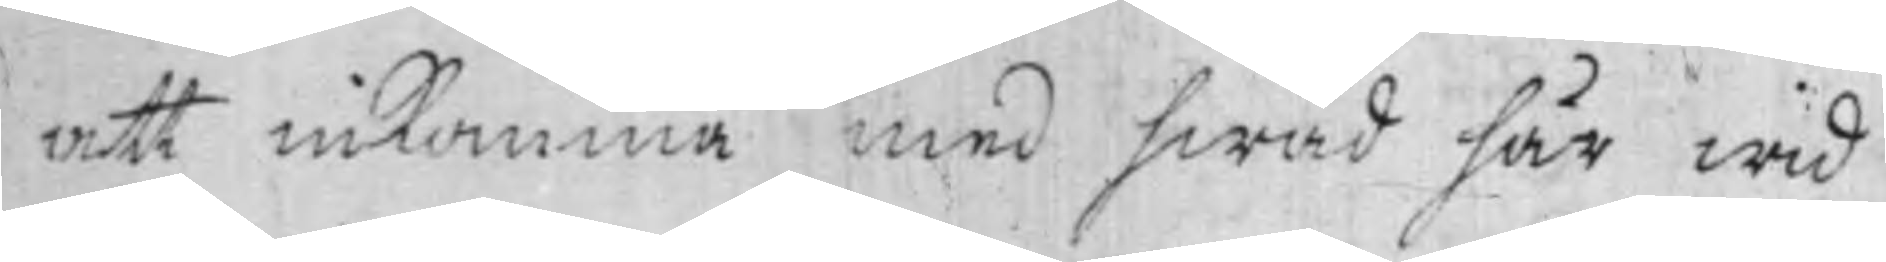att inkomma med hwad här wid
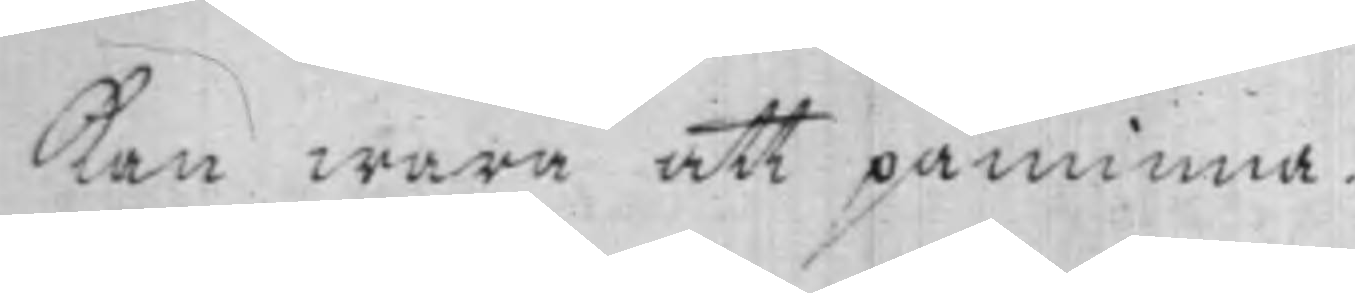kan wara att påminna.
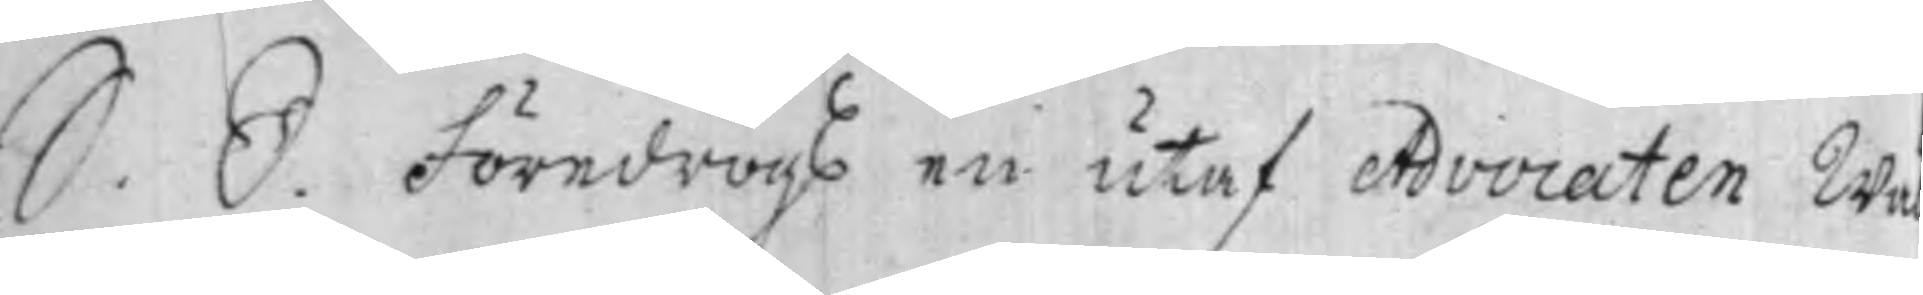S. D. Föredrogs en utaf Advocaten Wä
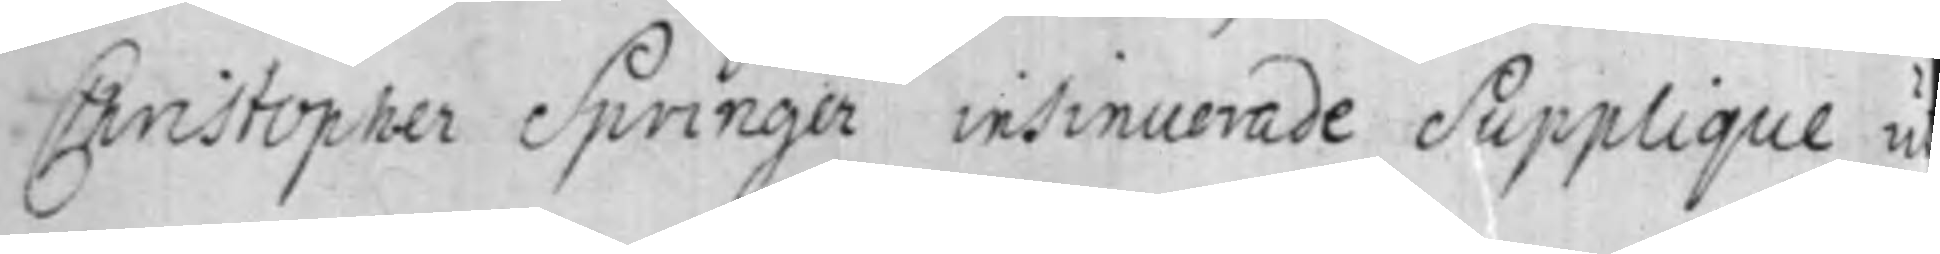Cristopher Springer insinuerade Supplique u
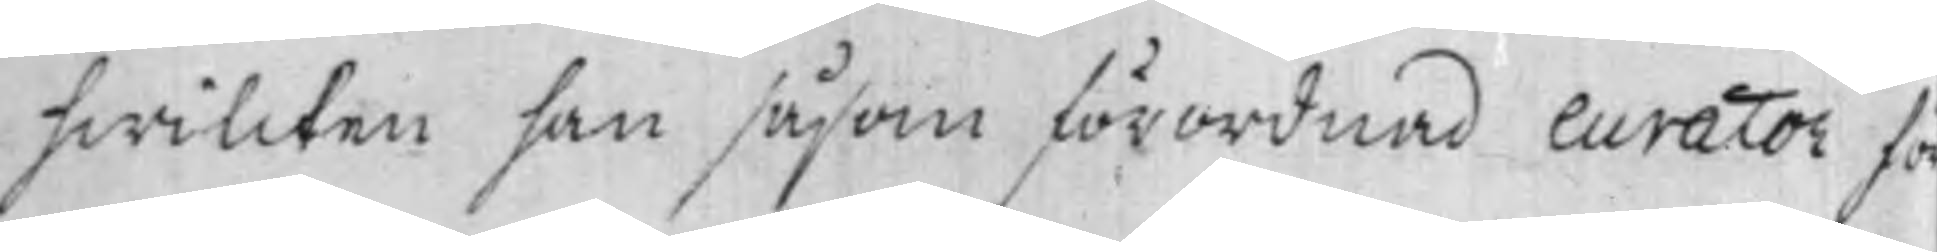hwilcken han såsom förordnad Curator fö
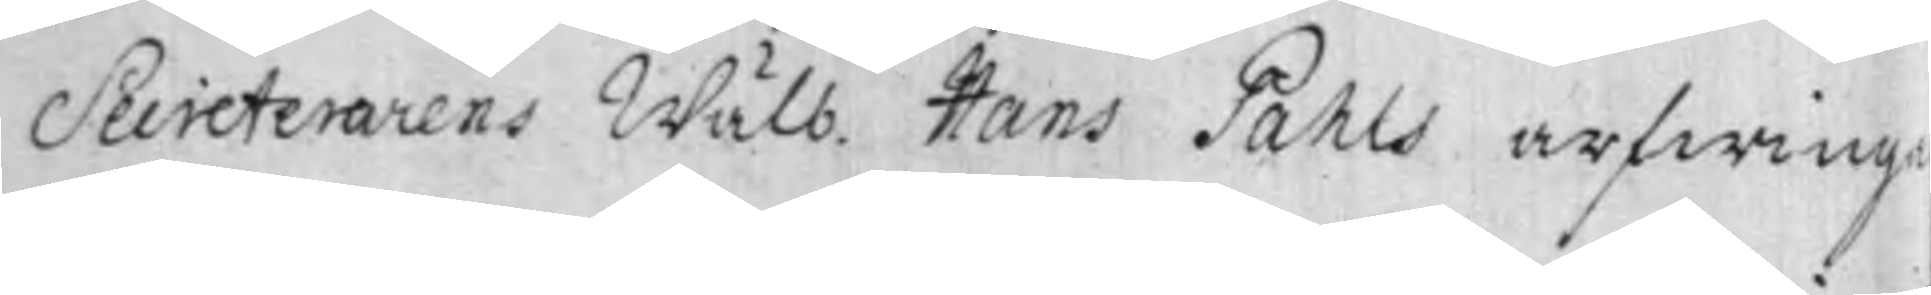Secreterarens Wälb. Hans Pahls arfwinga
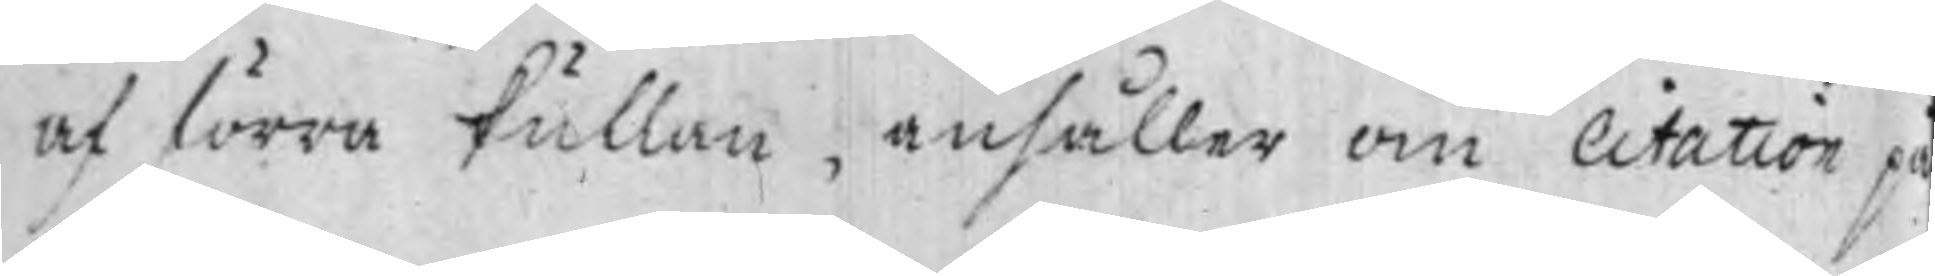af förra kullan, anhåller om citation på
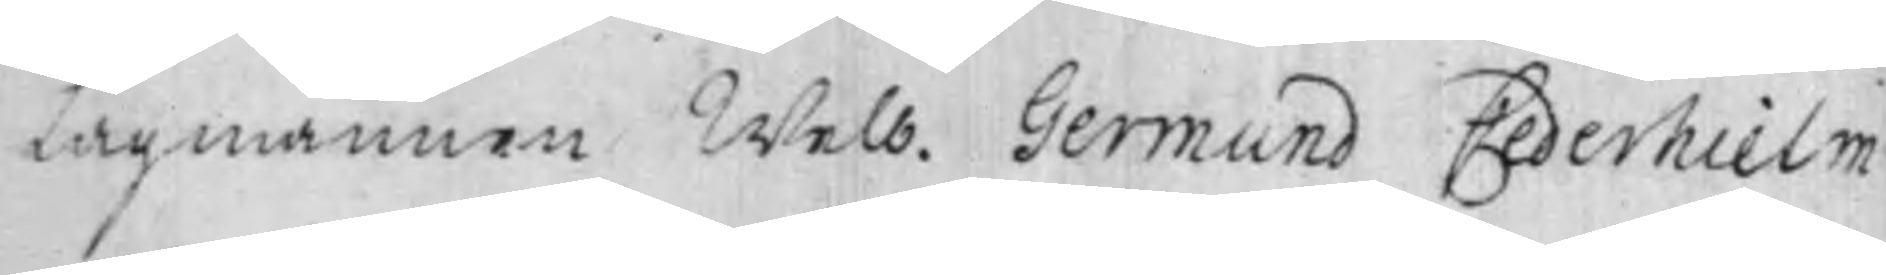Lagmannen Welb. Germund Cederhielm,
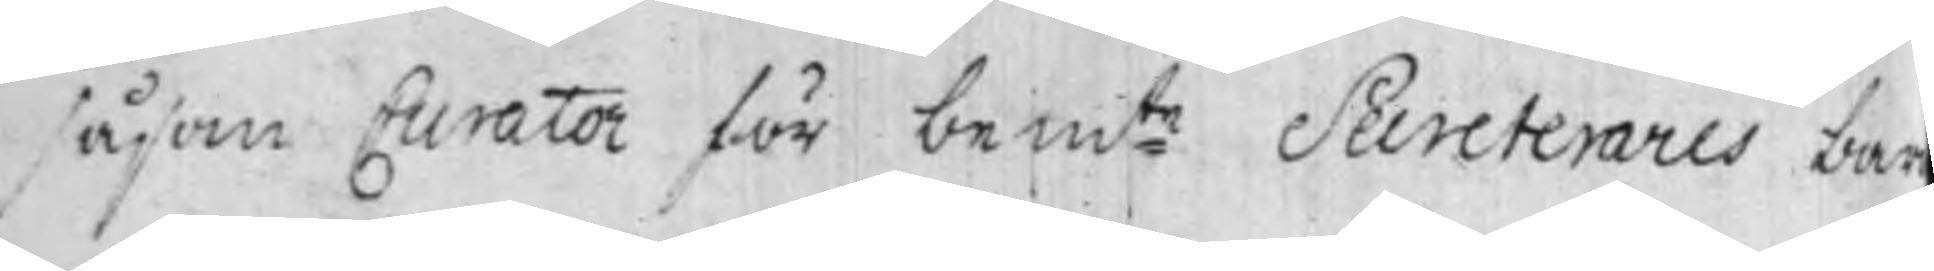såsom Curator för bem:te Secreterares bar
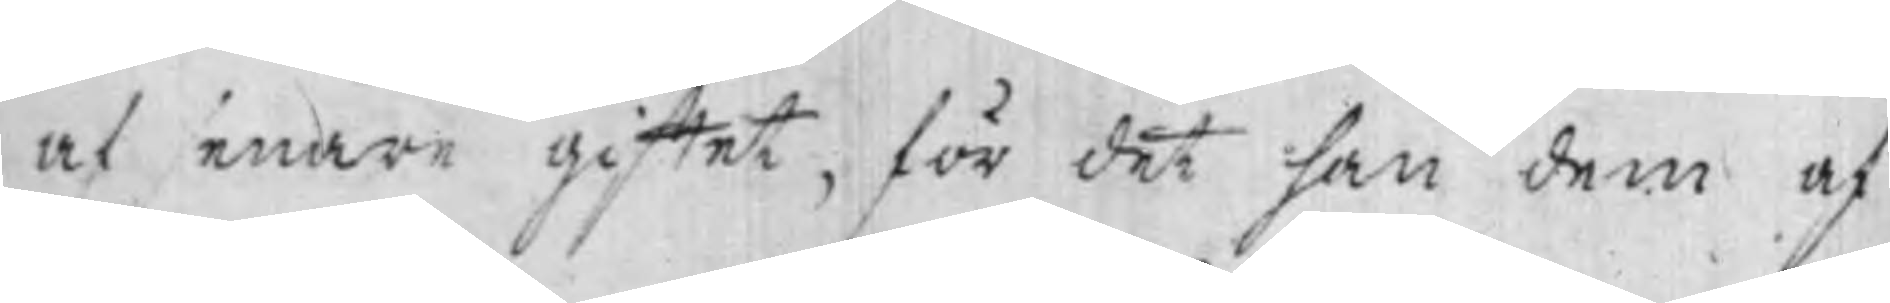af senare giftet, för det han dem af
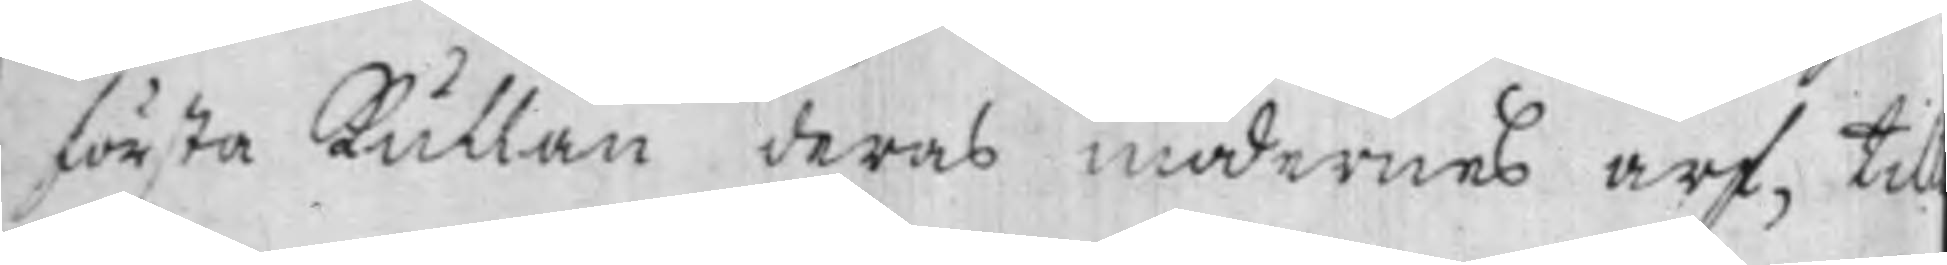första kullan deras mödernes arf, till
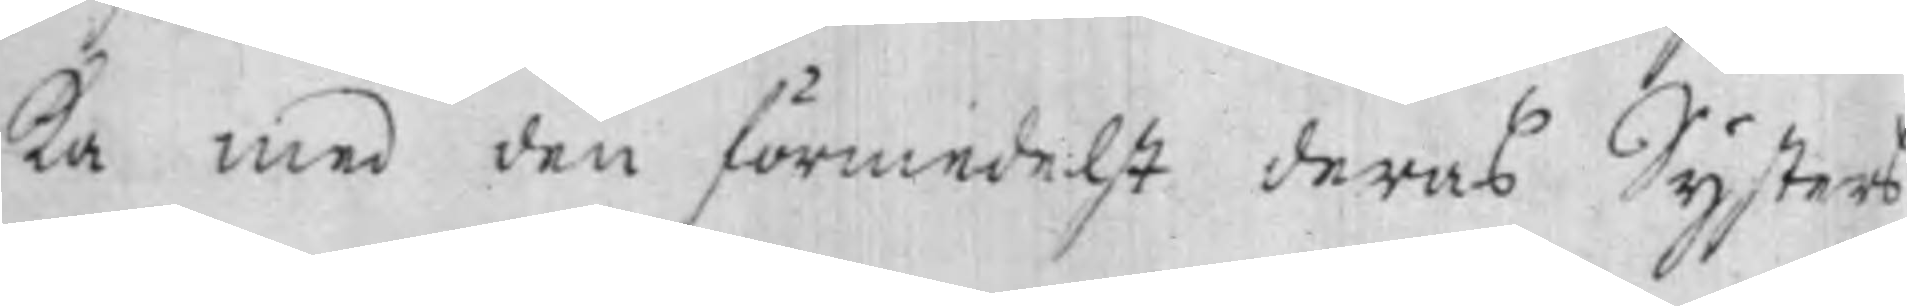ka med den förmedelst deras Systers
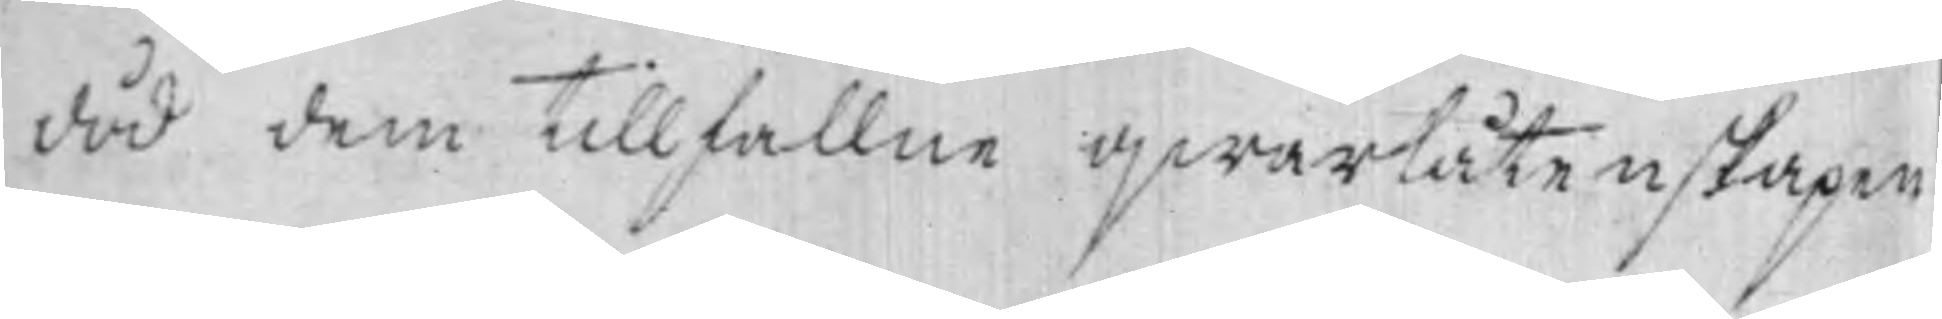död dem tillfallne qwarlåtenskapen
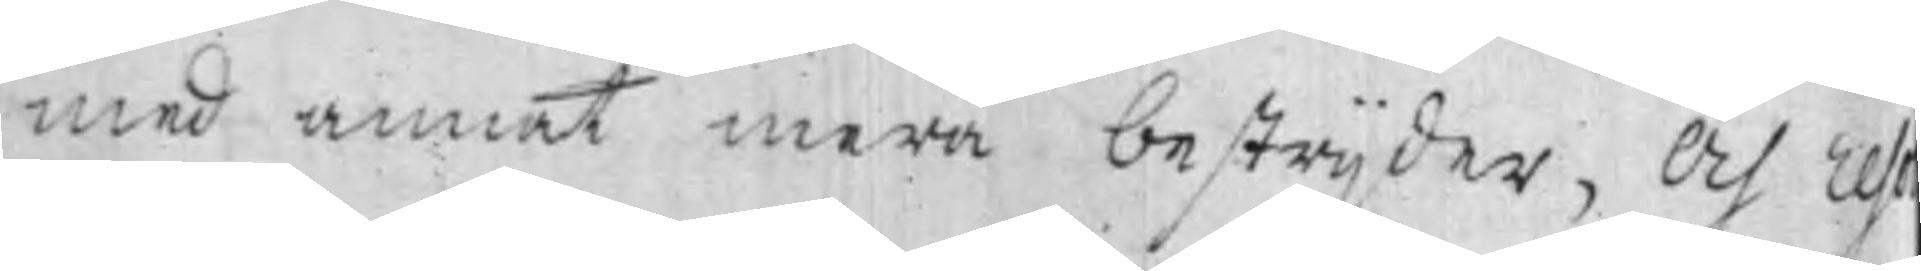med annat mera bestrijder, Och reso¬
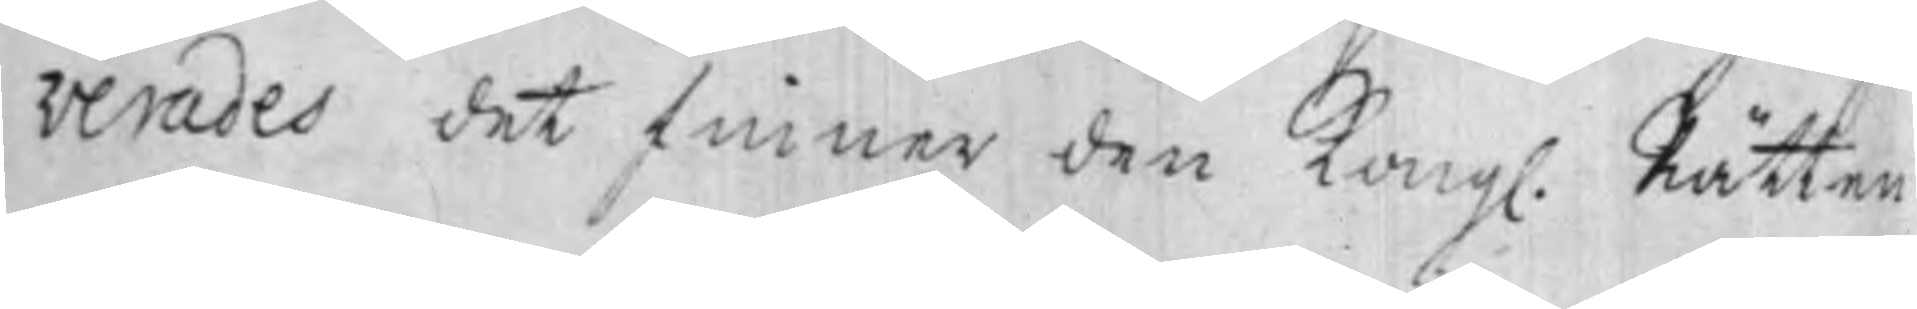verades det finner den Kongl. Rätten
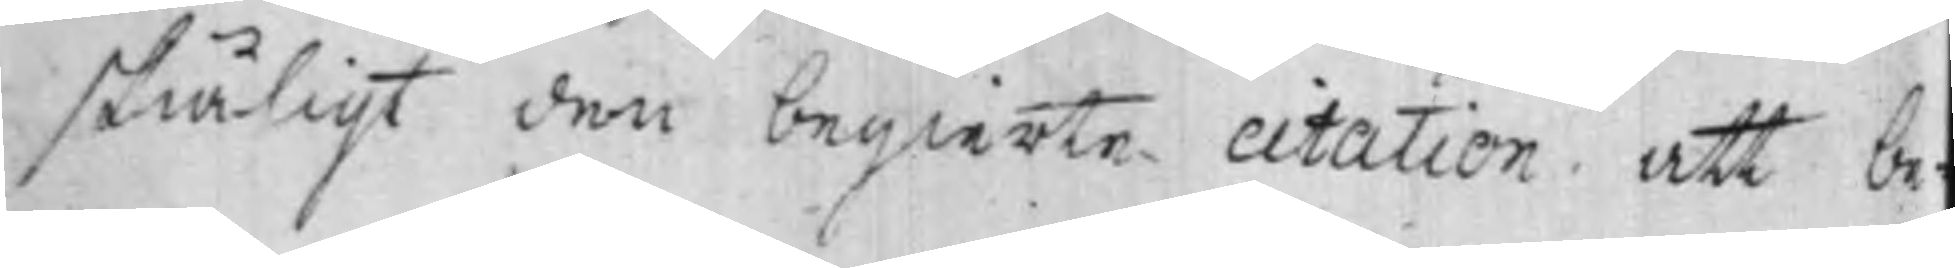skiäligt den begierte ctation, att be¬
